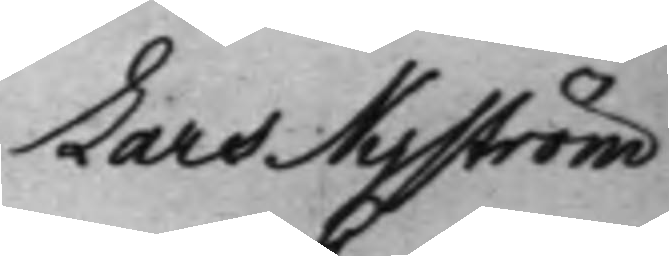Lars Nyström 
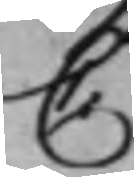C
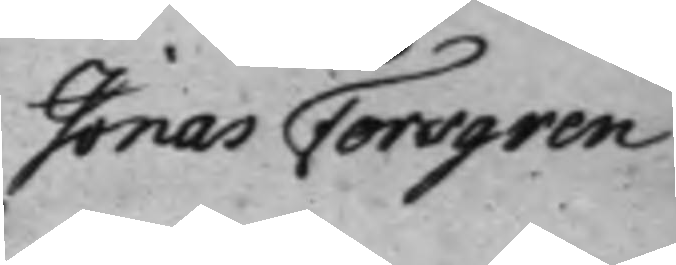Jonas Forsgren
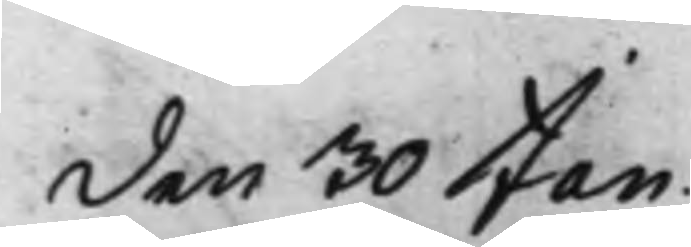den 30 Jan. 
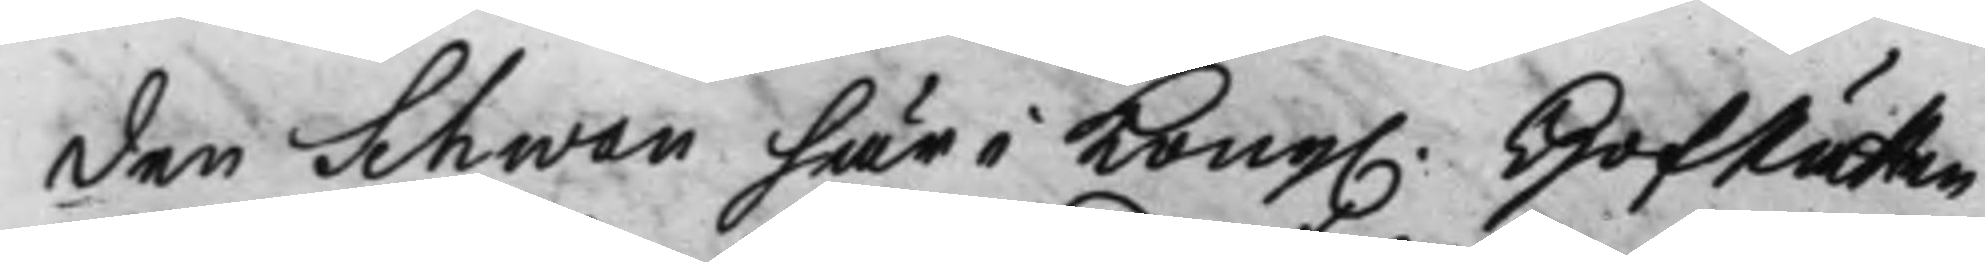den Schwan här i Kong. HofRätten 
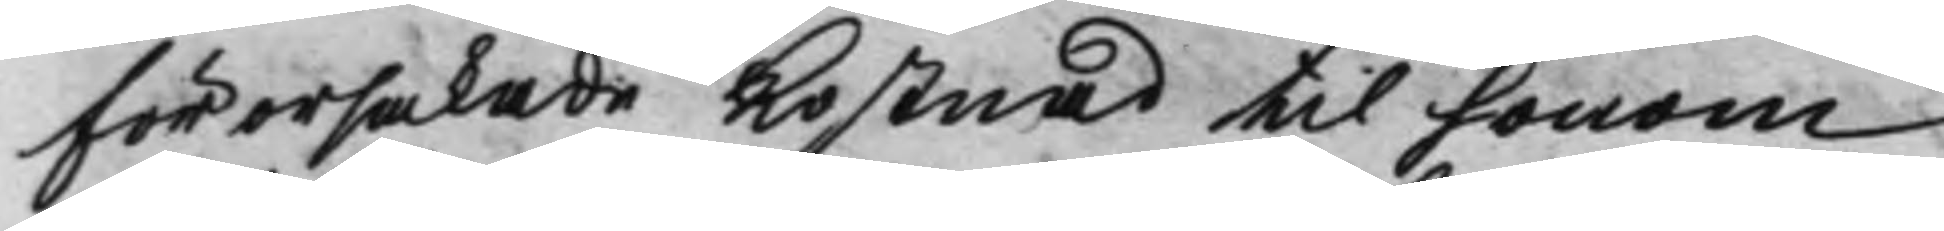förorsakade Kostnad til honom
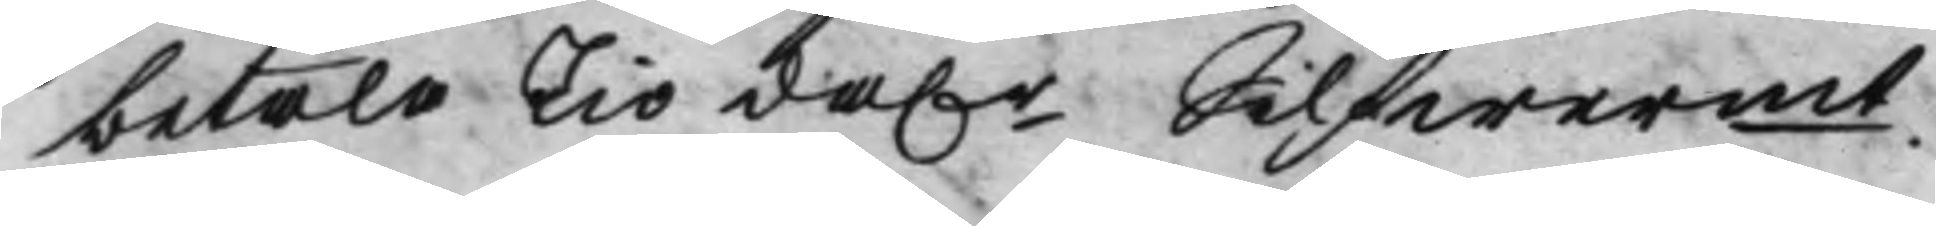betala Tio da.r Silfwermt. 
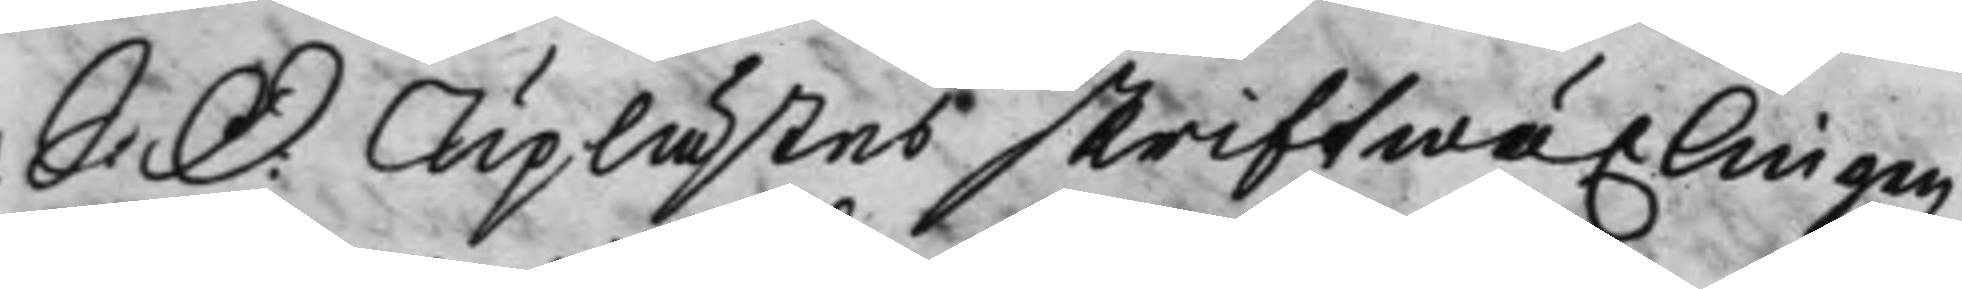S: D: Uplästes skriftwäxlingen 
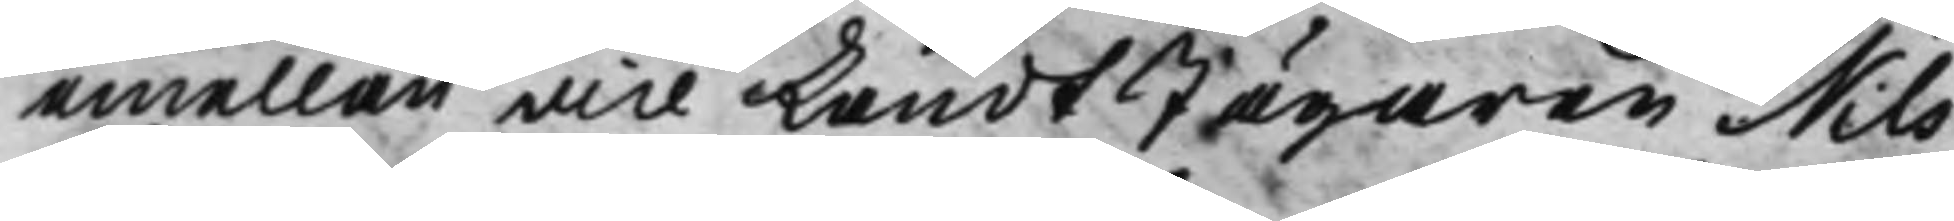emellan vice LandtJägaren Nils
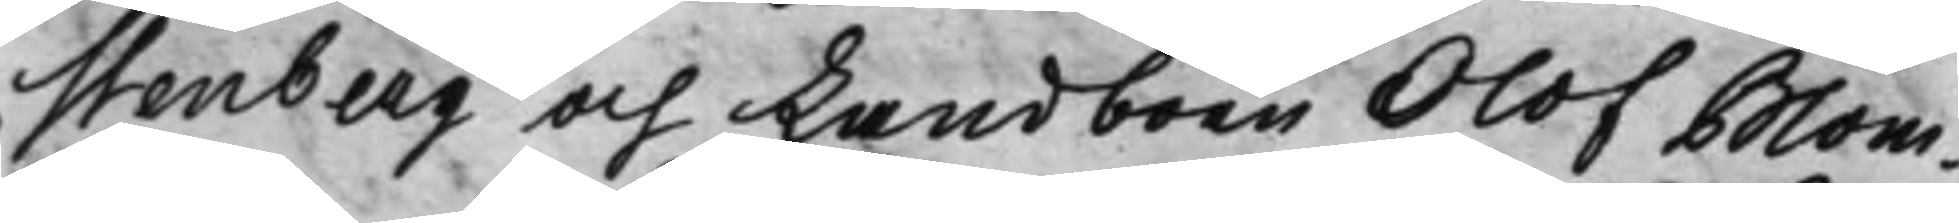Stenberg och Landboen Olof Blom¬
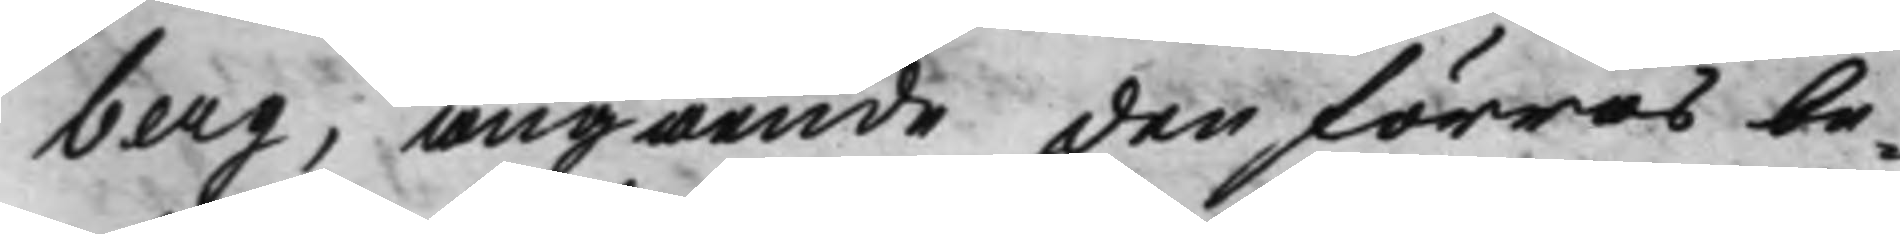berg, angående den förras be¬
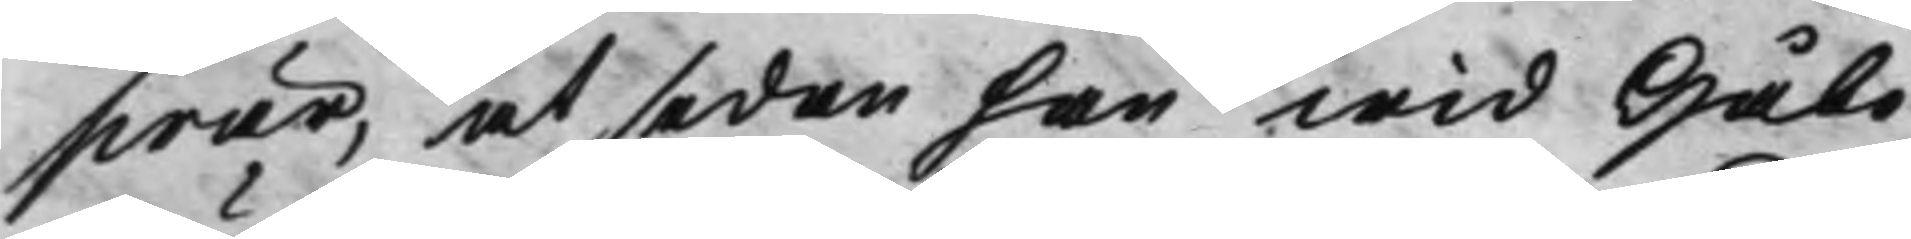swär, at sedan han wid Håbo
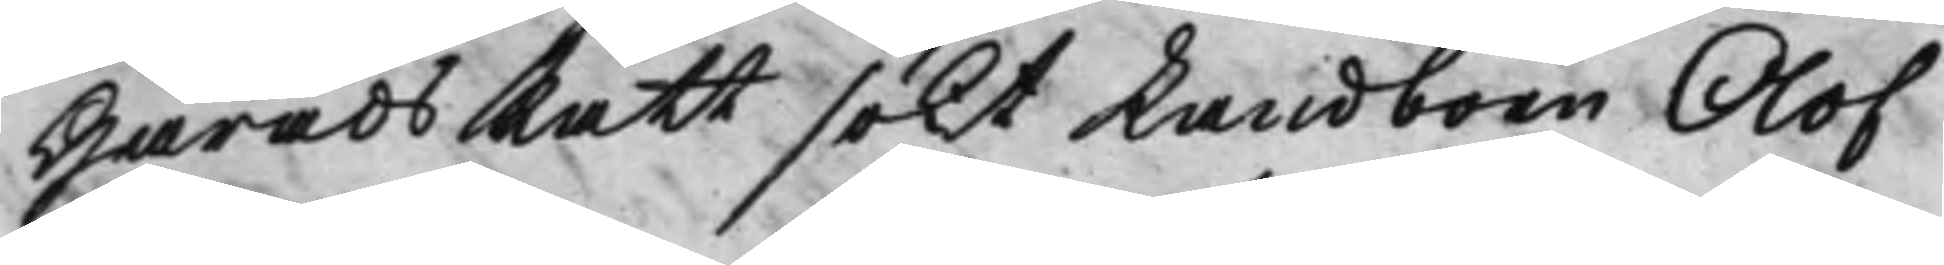HäradsRätt sökt Landboen Olof
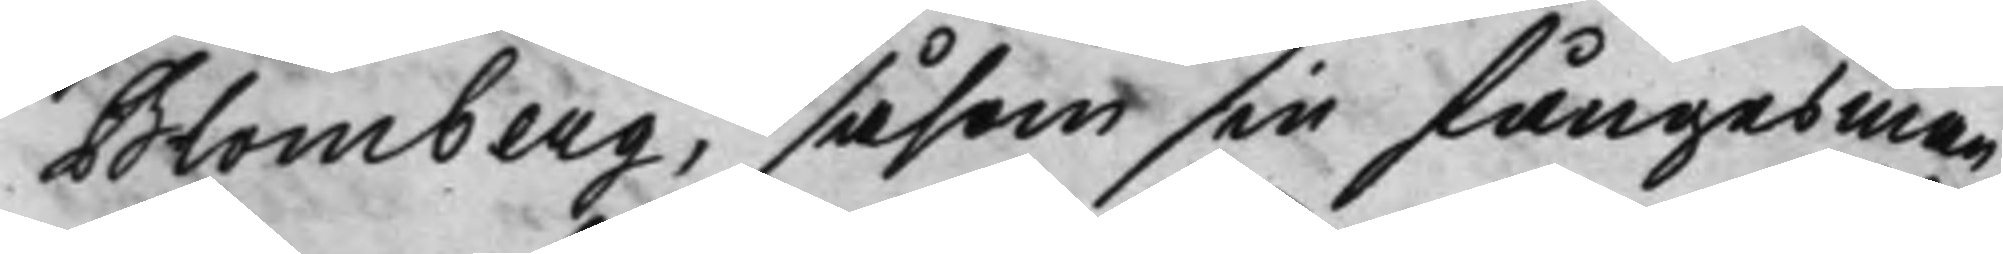Blomberg, såsom sin fångesman
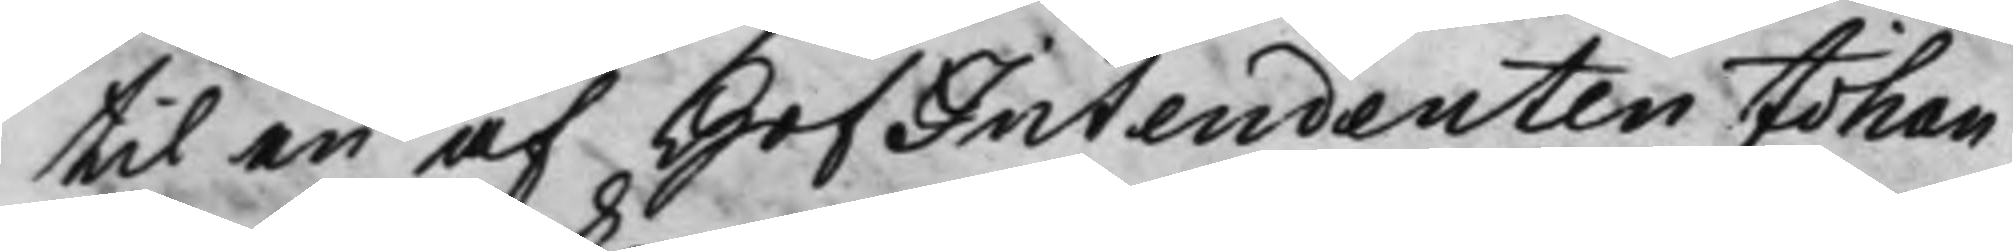til en af HofIntendenten Johan
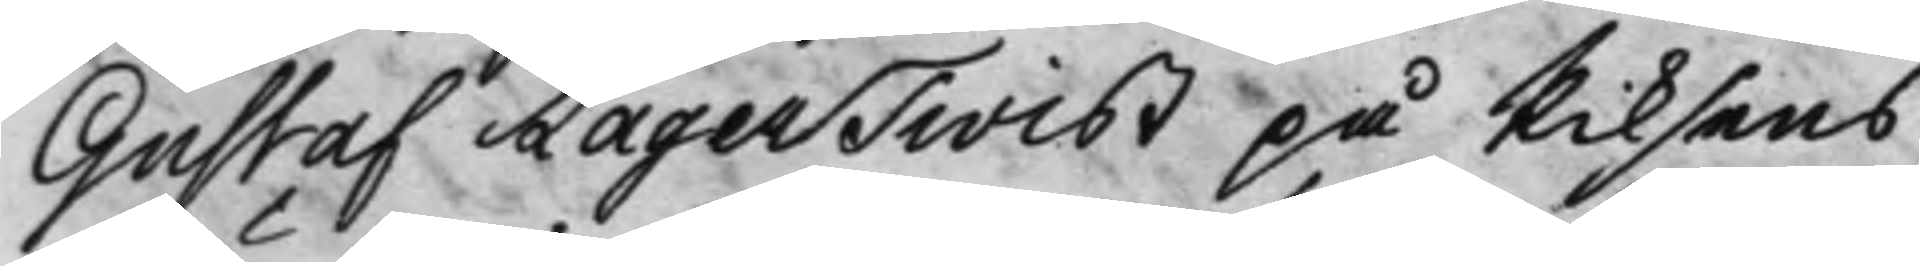Gustaf Lagertwist på Riksens
